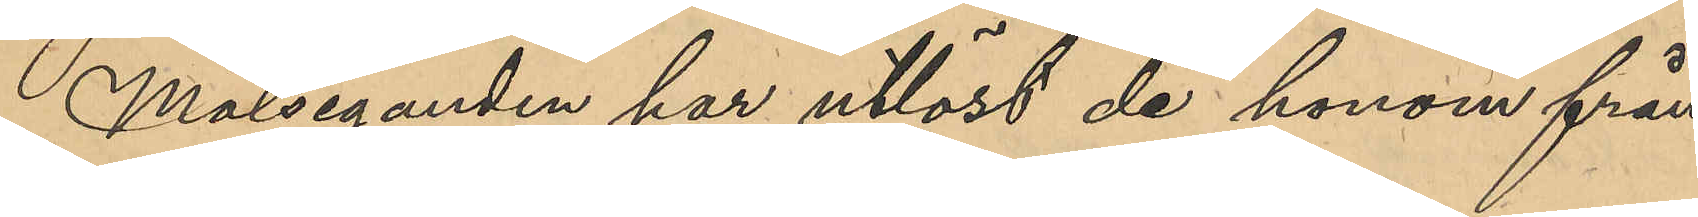Målseganden har utlöst de honom från¬
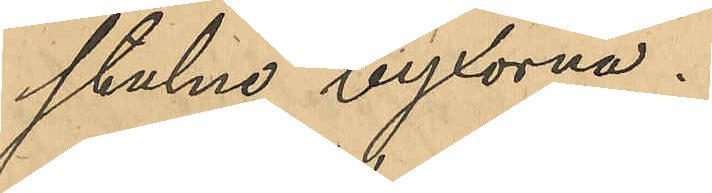stulne byxorna.
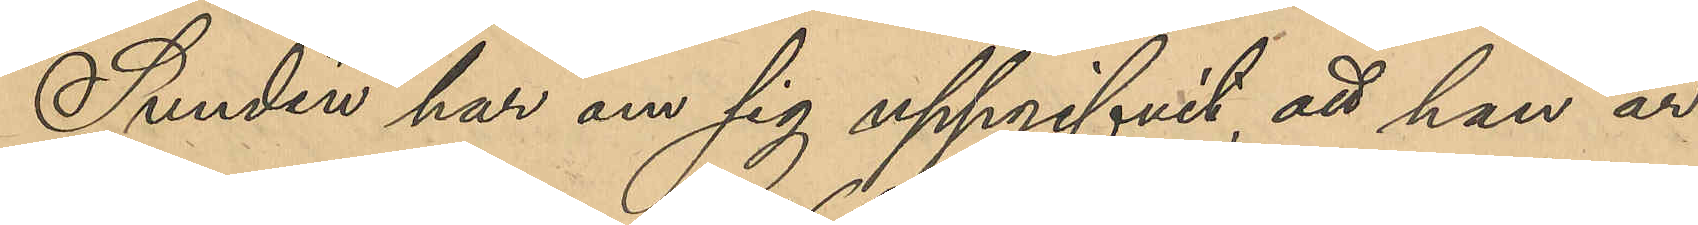Sundén har om sig uppgifvit, att han är
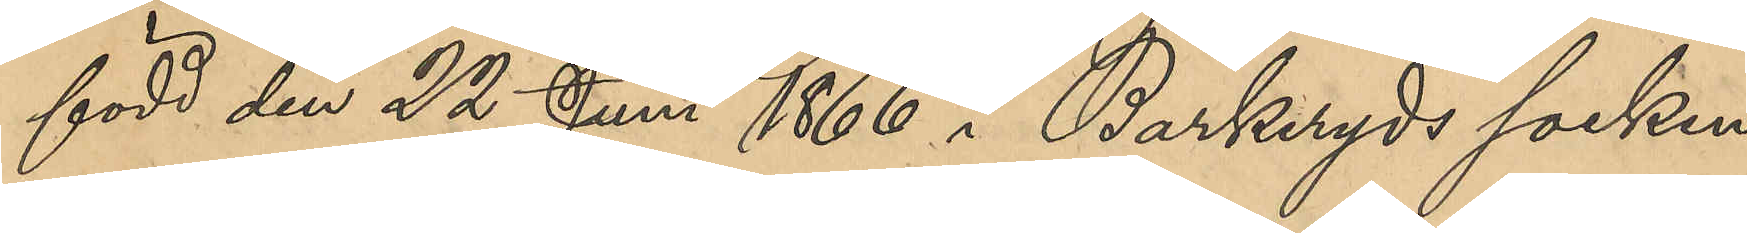född den 22 Juni 1866 i Barkeryds socken
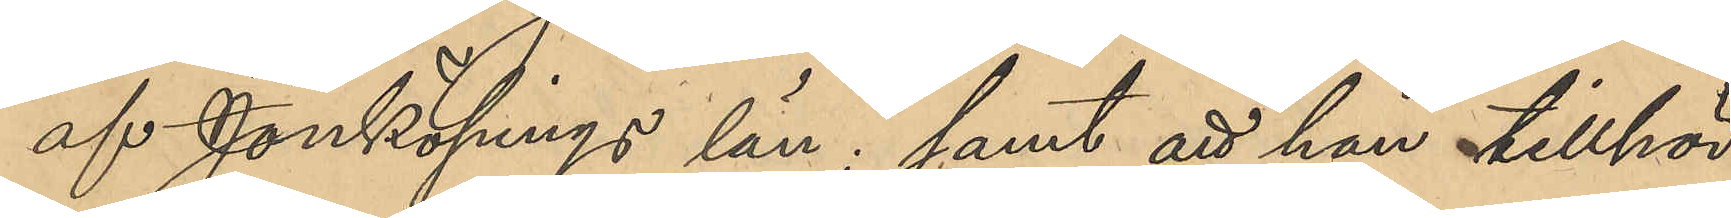af Jönköpings län, samt att han tillhör
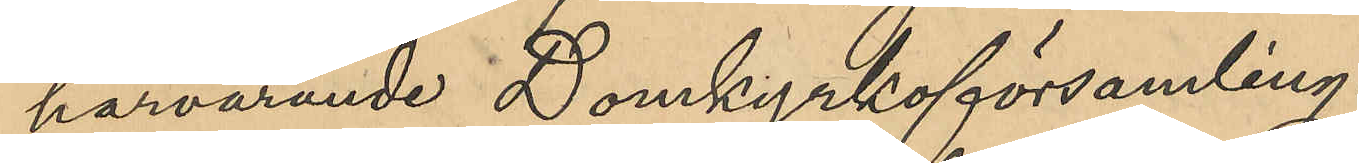härvarande Domkyrkoförsamling.
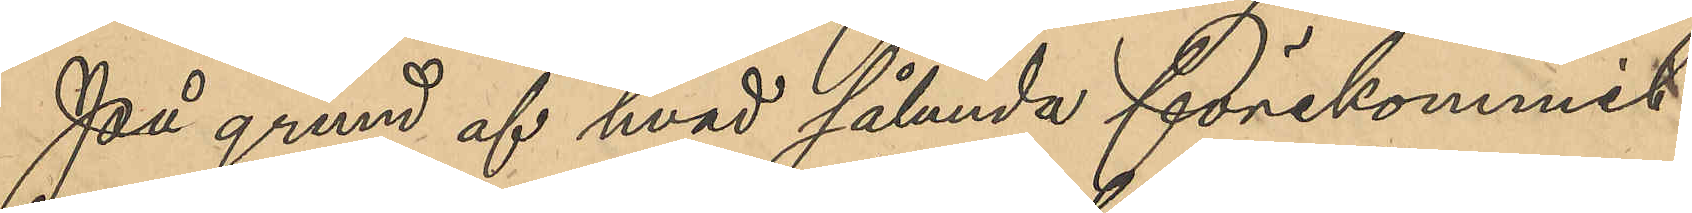På grund af hvad sålunda förekommit
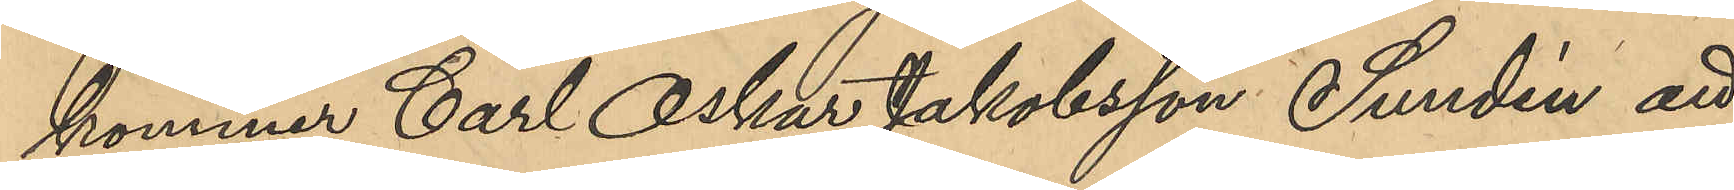kommer Carl Oskar Jakobsson Sundin att
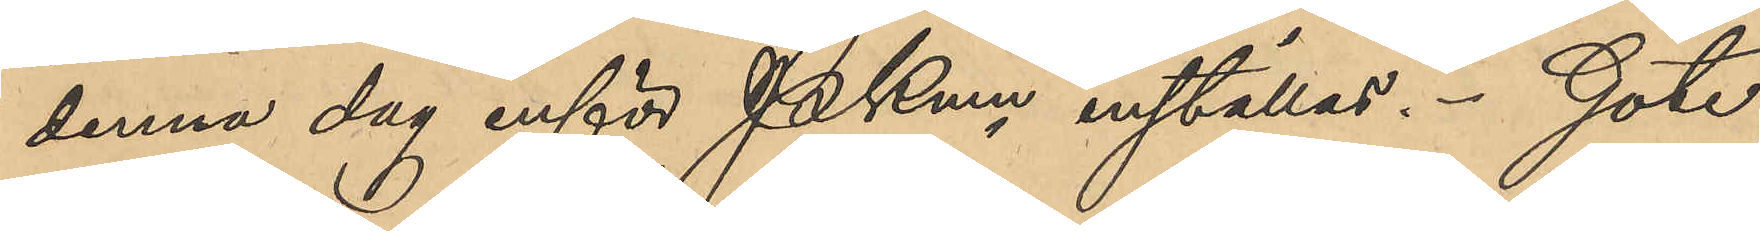denna dag inför PKmn inställas. Göte¬
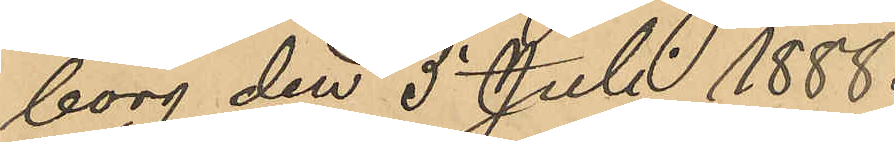borg den 5 Juli 1888.
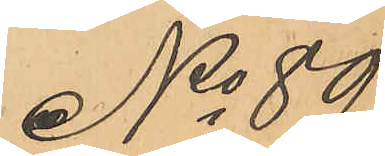No 89
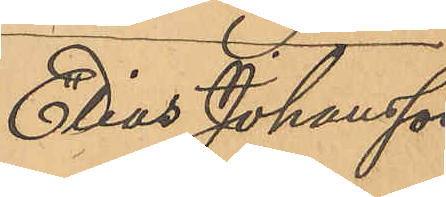Elias Johansson
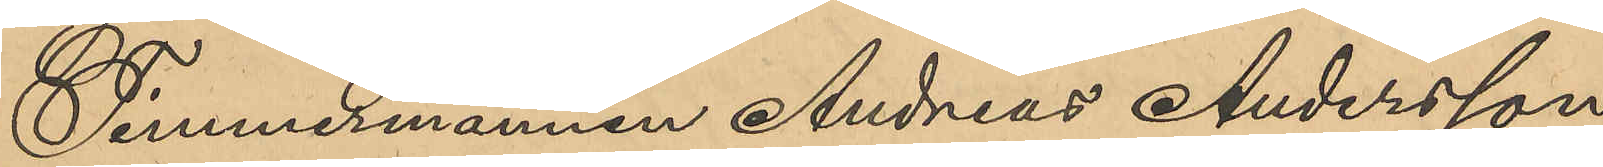Timmermännen Andreas Andersson,
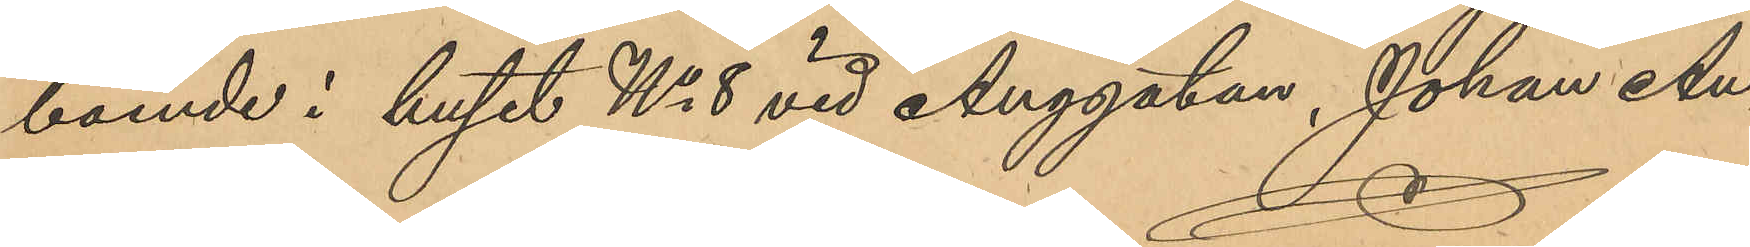boende i huset No 8 vid Anggatan, Johan An¬
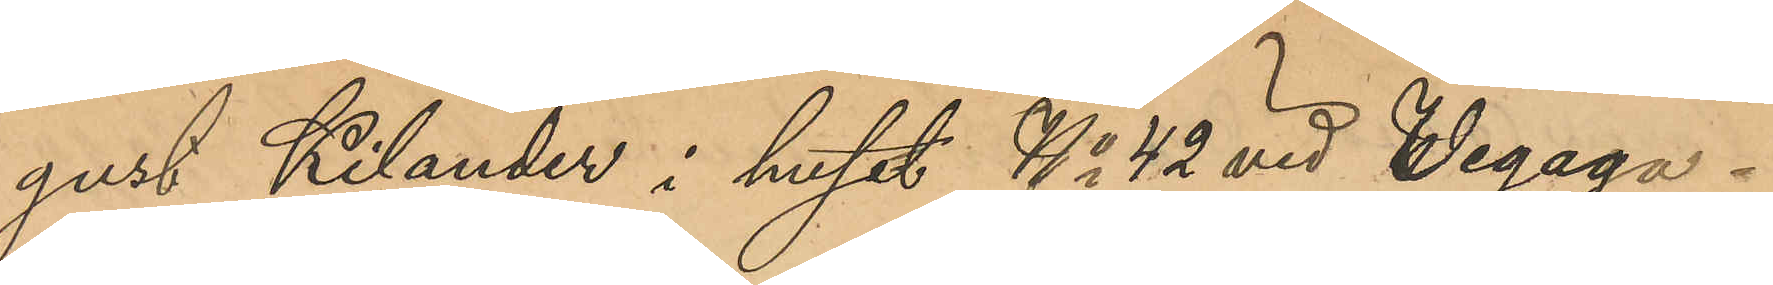gust Kilander i huset No 42 vid Vegaga¬
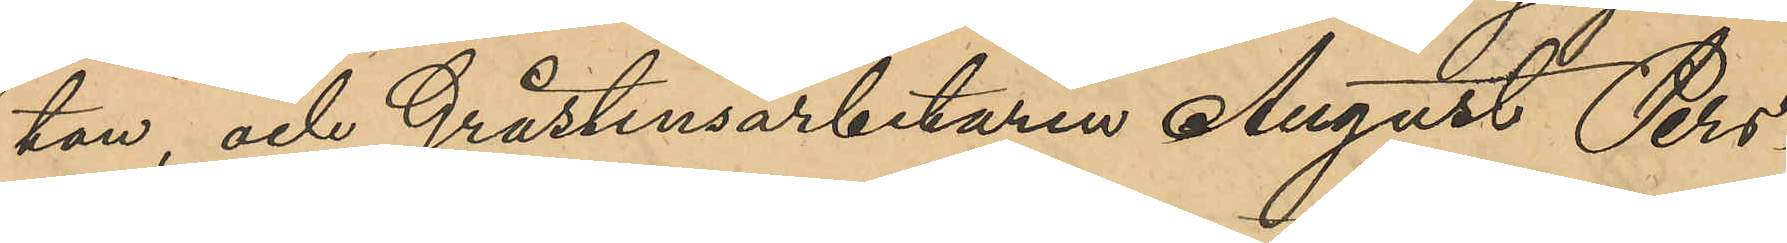tan, och Gråstensarbetaren August Pers¬
